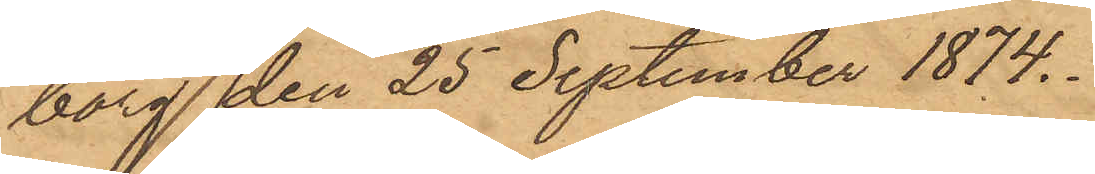borg den 25 September 1874.
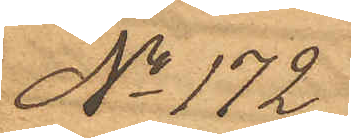No 172.
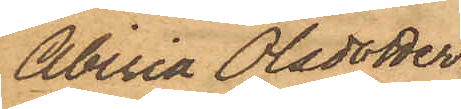Abiria Olsdotter
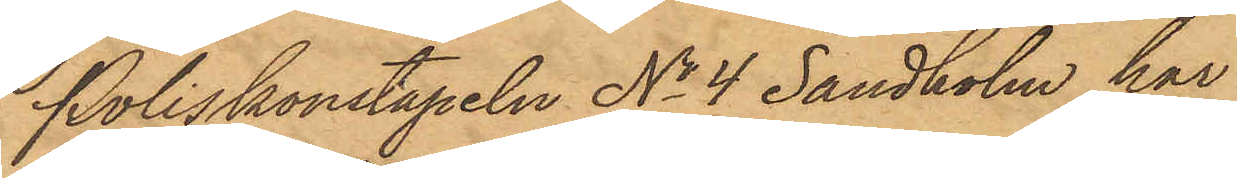Poliskonstapeln No 4 Sandholm har
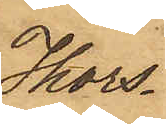Thors¬
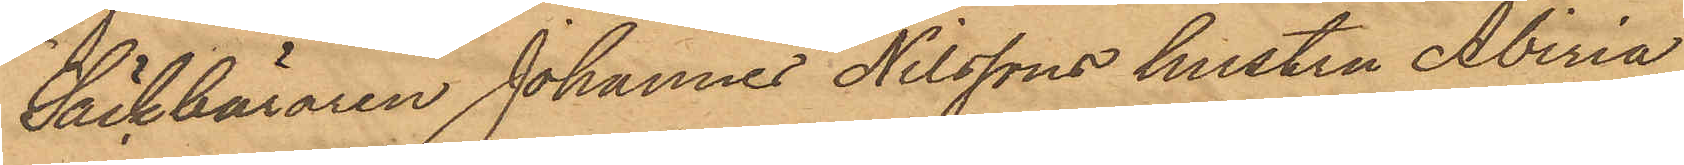Säckbäraren Johannes Nilssons hustru Abiria
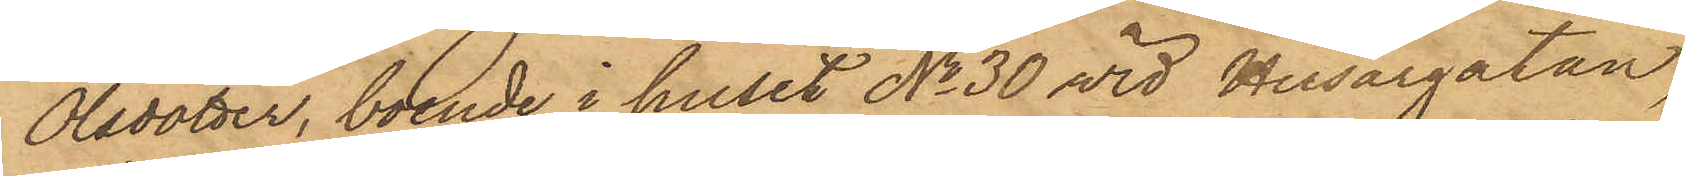Olsdotter, boende i huset No 30 vid Husargatan,
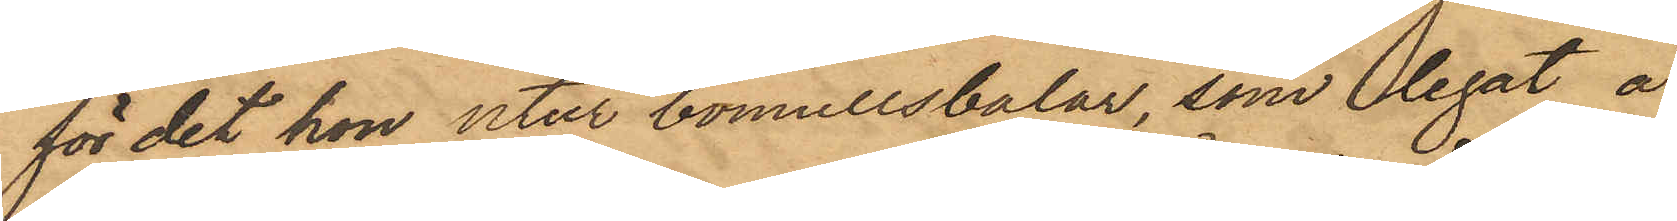för det hon utur bomullsbalar, som legat å
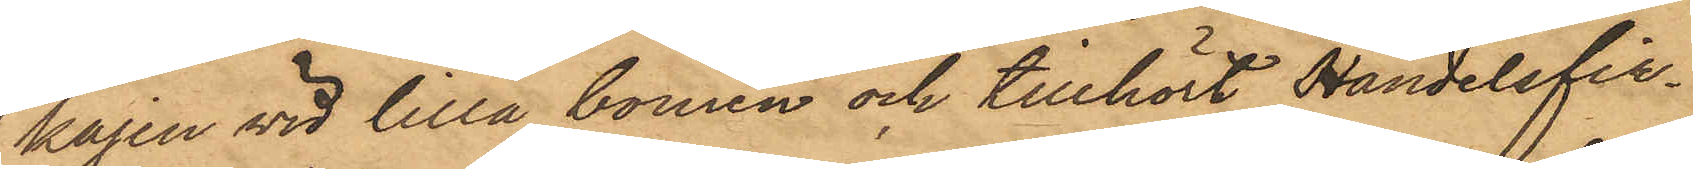kajen vid lilla bomen och tillhört Handelsfir¬
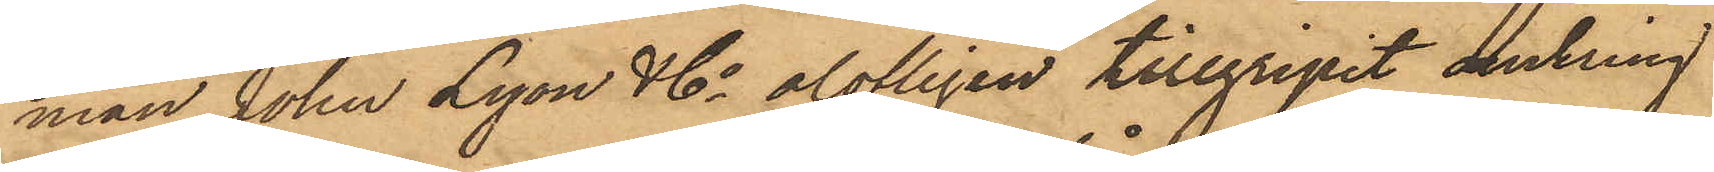man John Lyon & Co olofligen tillgripit omkring
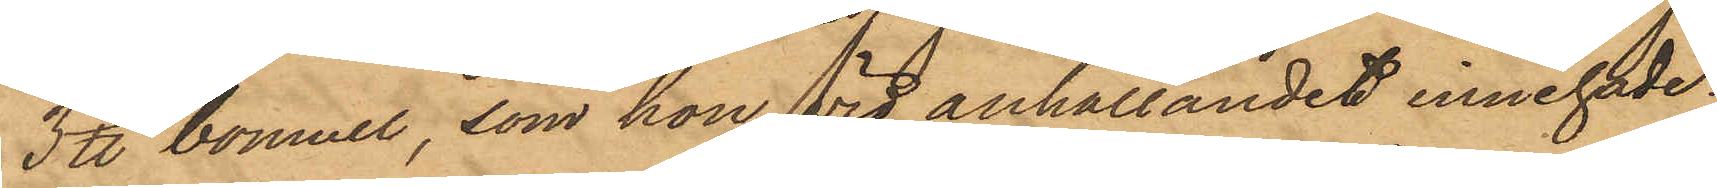3 ℔ bomull, som hon vid anhållandet innehade;
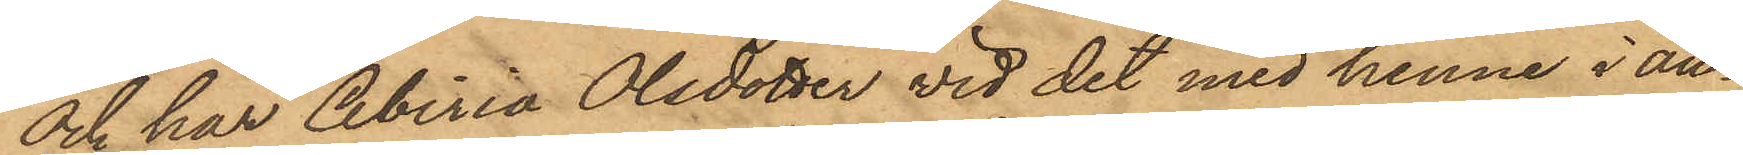och har Abiria Olsdotter vid det med henne i an¬
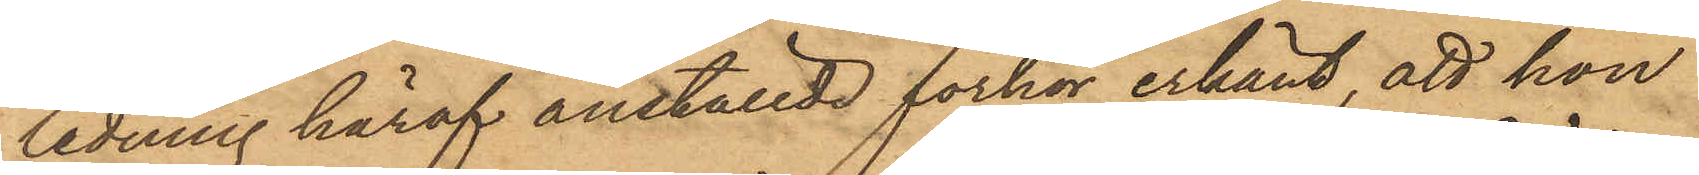ledning häraf anställde förhör erkänt, att hon
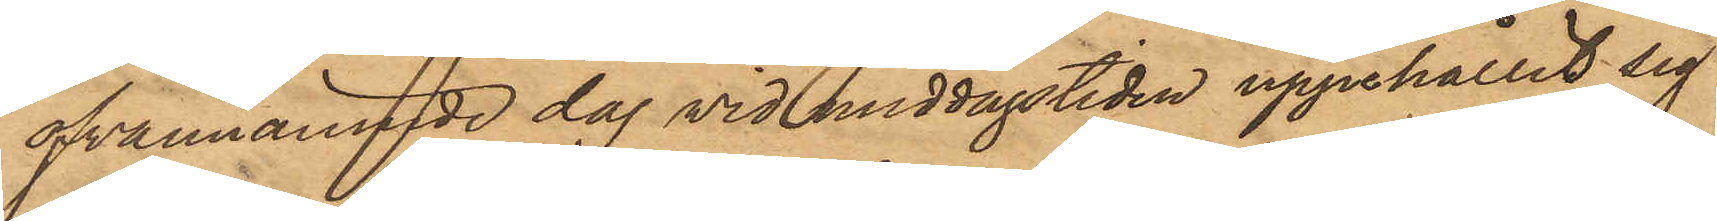ofvannämnde dag vid middagstiden uppehållit sig
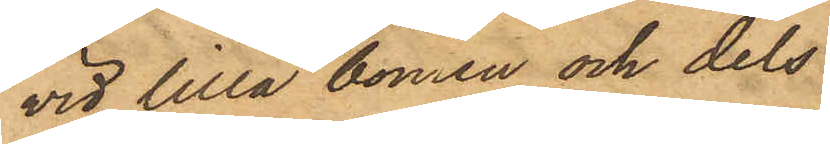vid lilla bomen och dels
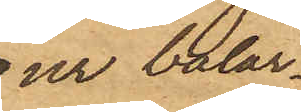ur balar¬
